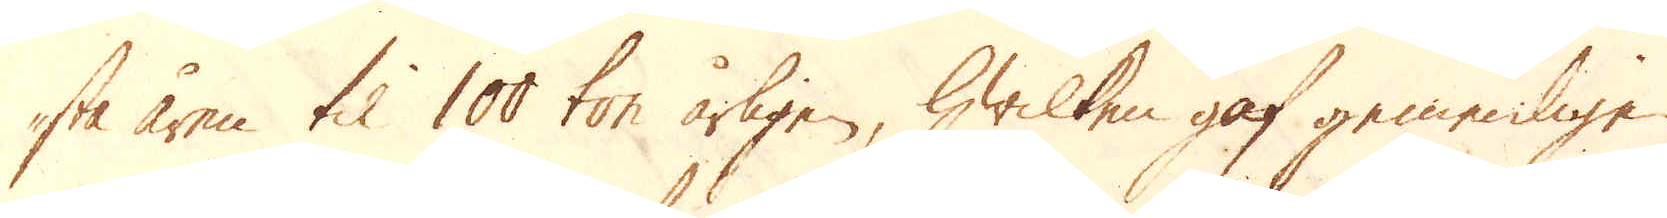sta åren til 100 ton årligen, hwilken gaf gemenligen
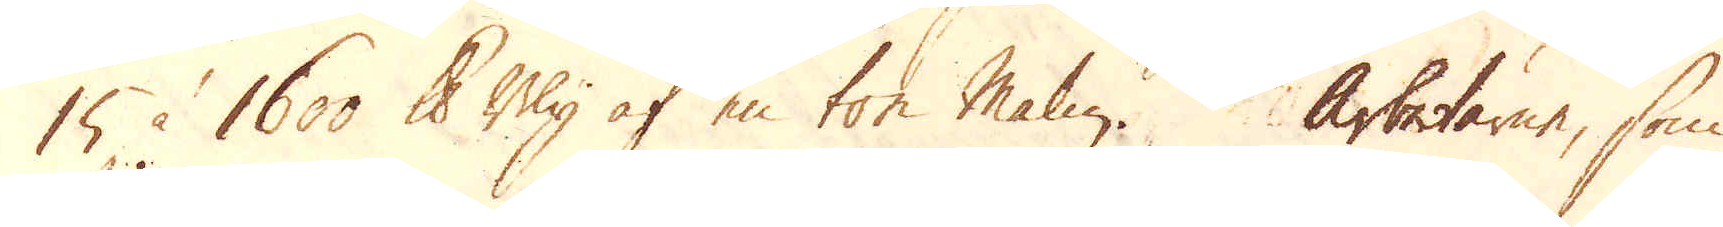15 à 1600 skålpund Bly af en ton Malm. Arbetarne, som
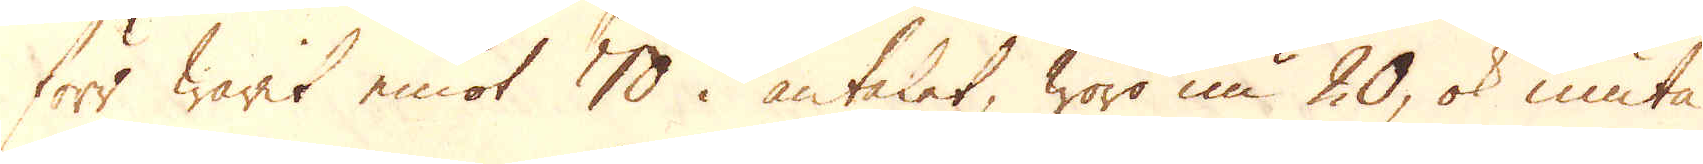förr warit emot 70 i antalet, woro nu 20, ok niuta
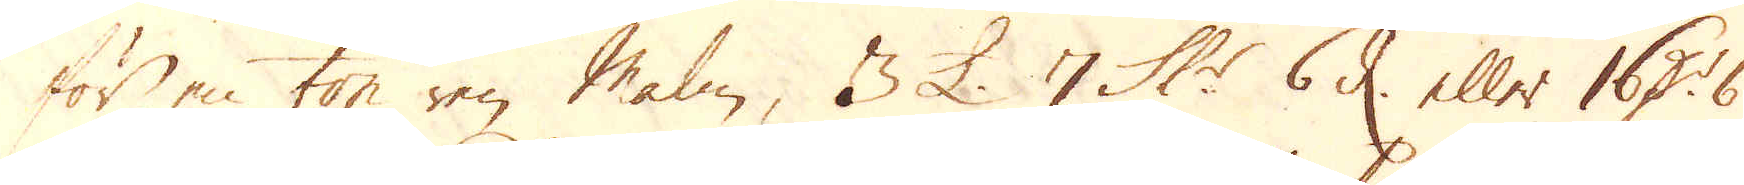för en ton ren Malm, 3 £. 7 Sk:r 6 d. eller 16 D:r 6 ./.
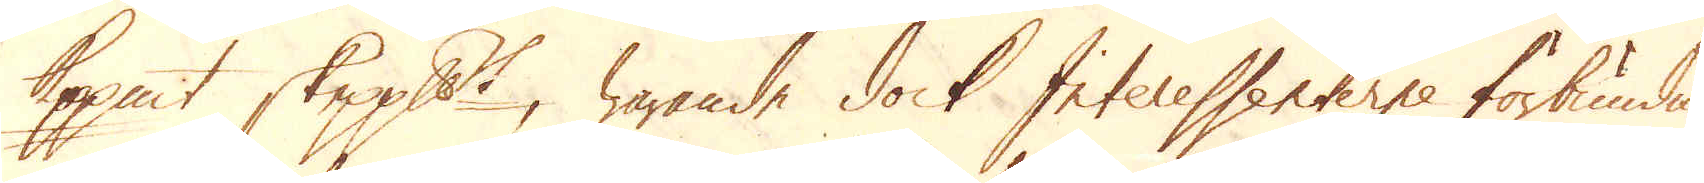Kopp:mt skeppundet, warande dock Interessenterne förbundne
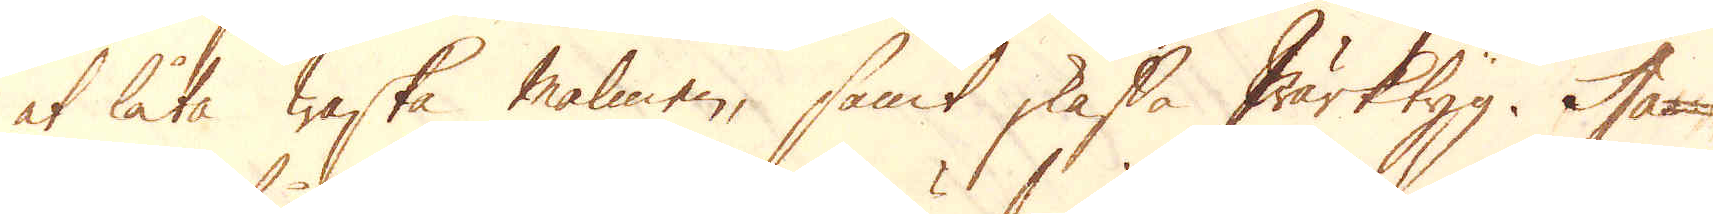at låta waska malmen, samt skaffa Wärktyg. Ha-
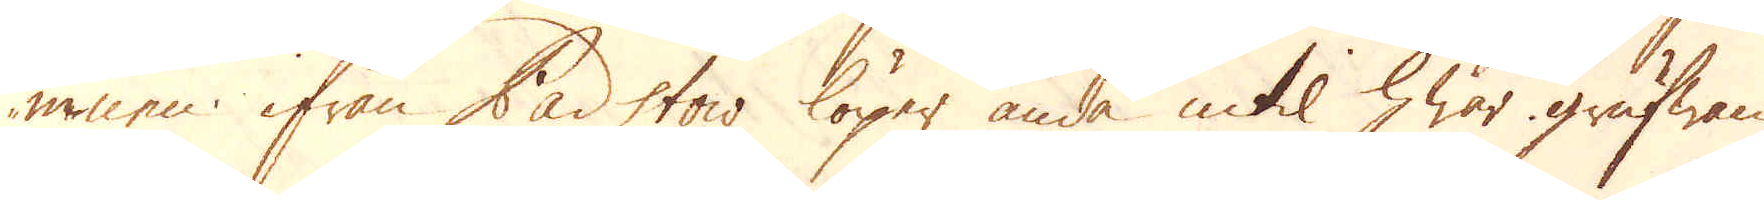mnen ifrån Padstow löper ända intil hwar grufwan
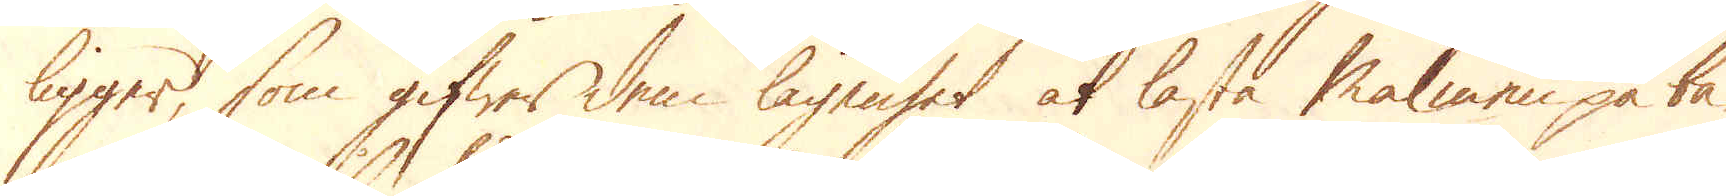ligger, som gifwer dem lägenhet at lasta Malmen på bå-
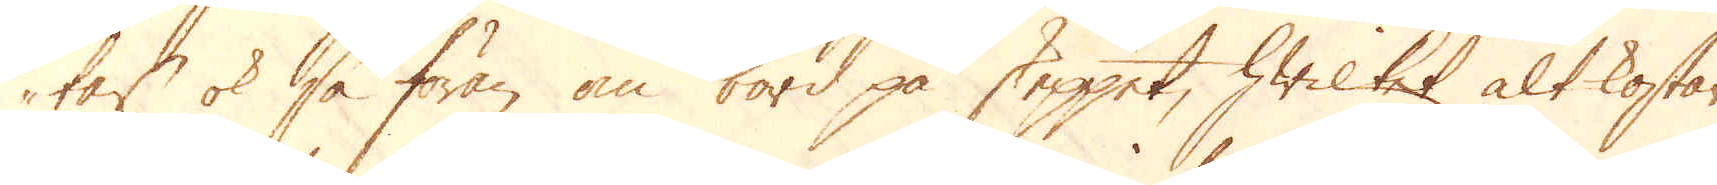tar ok så föran om bord på skeppet, hwilket alt kostar
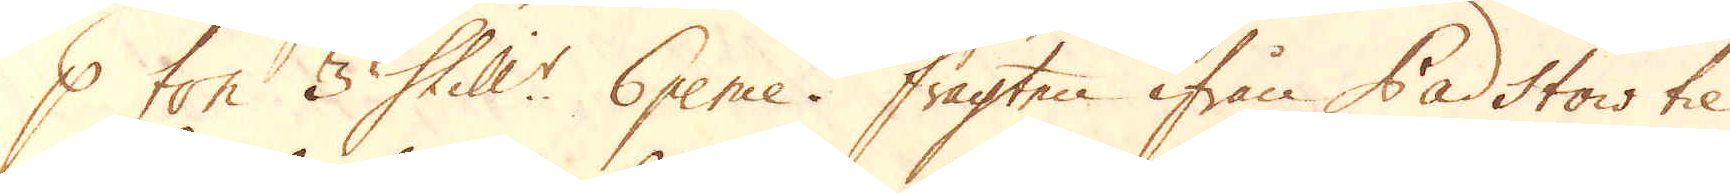p ton 3 Shill:r 6 pence. Fragten ifrån Padstow til
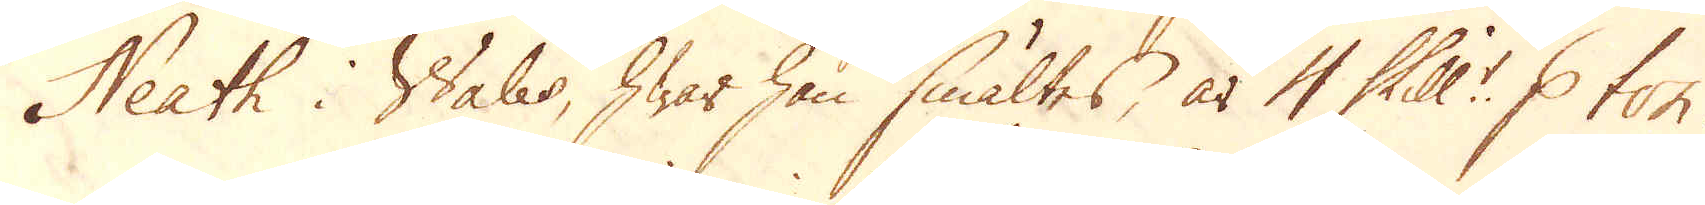Neath i Wales, hwar han smältes, är 4 Skill:r p ton.
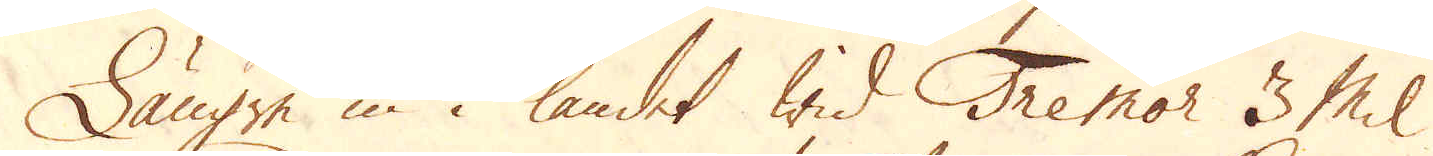Längre in i landet wid Tremor 3 Mil
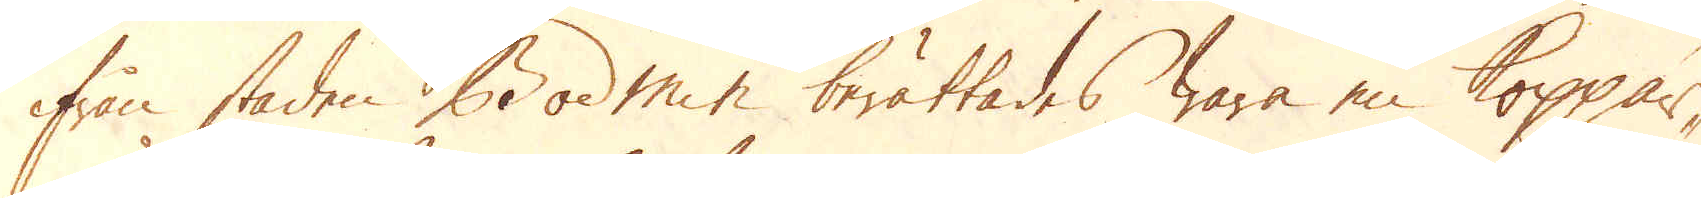ifrån staden Bodmin berättades wara en koppar-
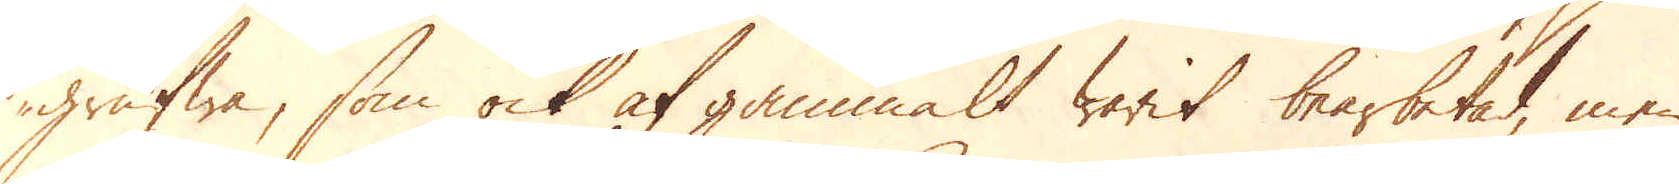grufwa, som ock af gammalt warit bearbetad, men
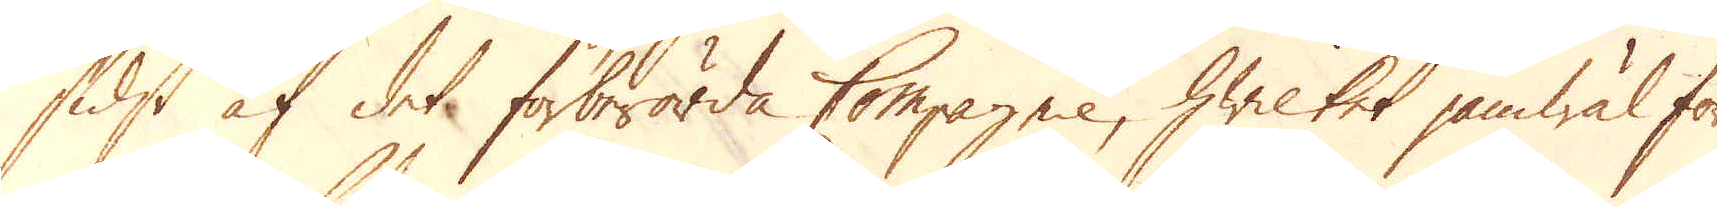sidst af det förberörda Compagnie, hwilket jämwäl för
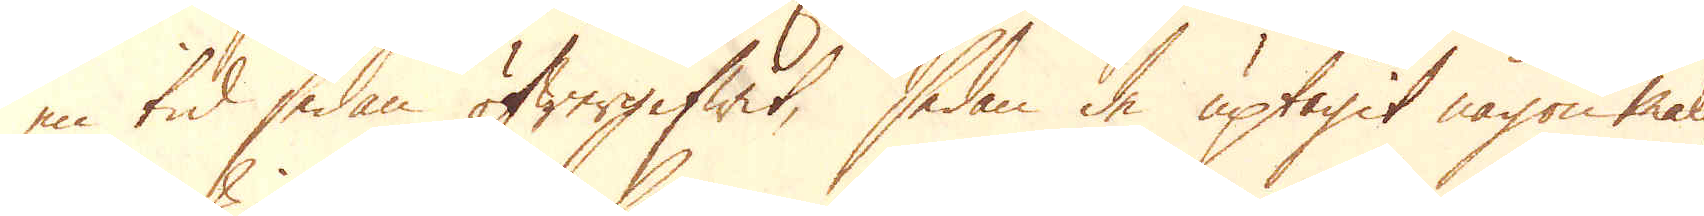en tid sedan öfwergifwit, sedan de uptagit någon malm
